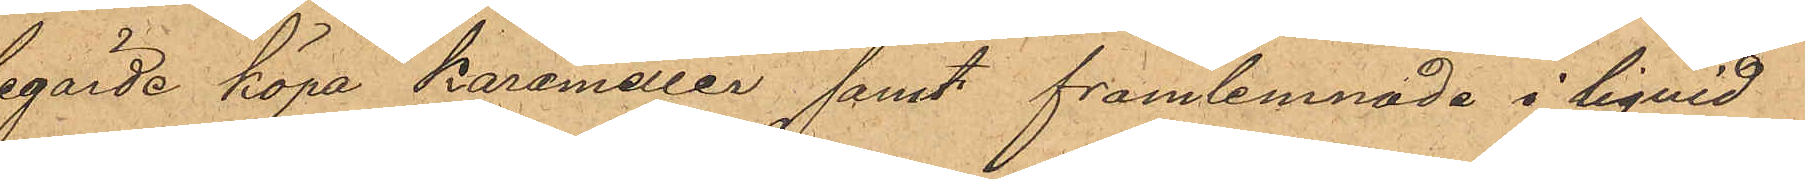begärde köpa Karameller samt framlemnade i liquid
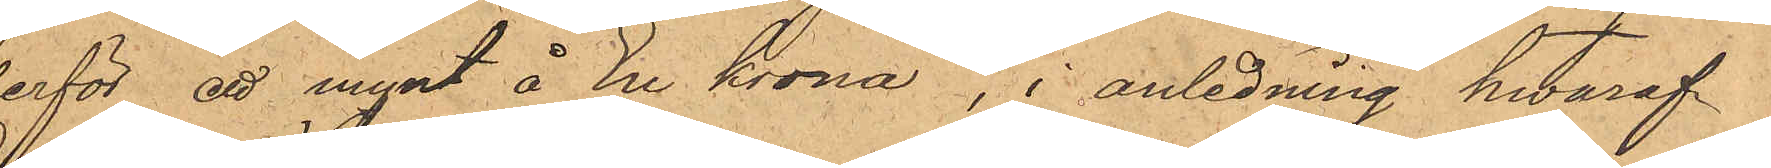derför ett mynt å En krona, i anledning hwaraf
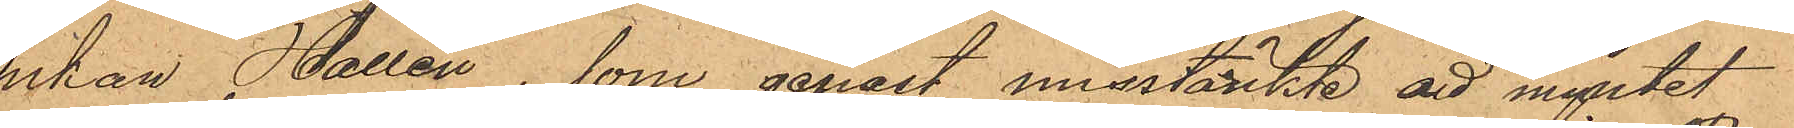Enkan Hallén, som genast misstänkte att myntet
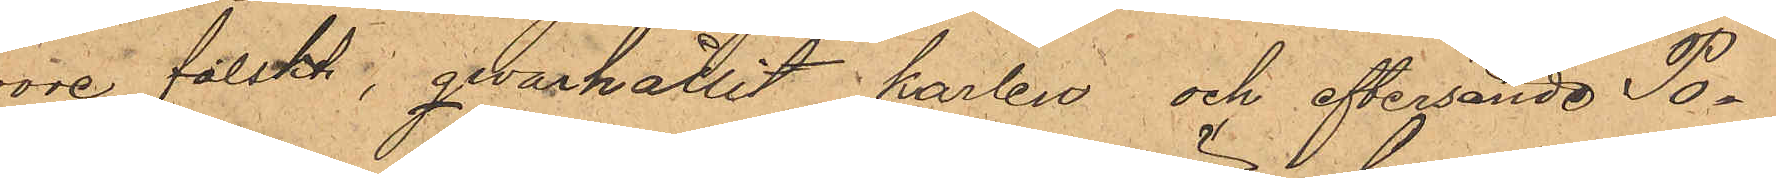wore falskt; qwarhållit karlen och eftersände Po¬
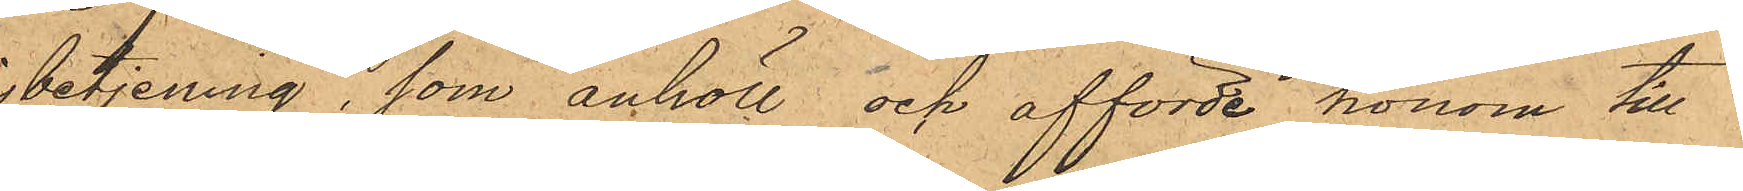lisbetjening, som anhöll och afförde honom till
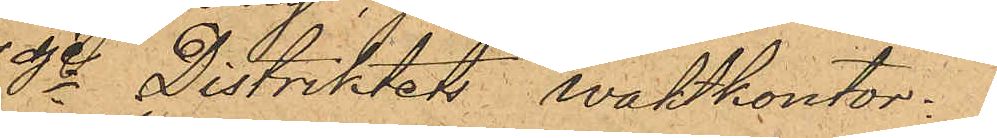3dje Distriktets waktkontor.
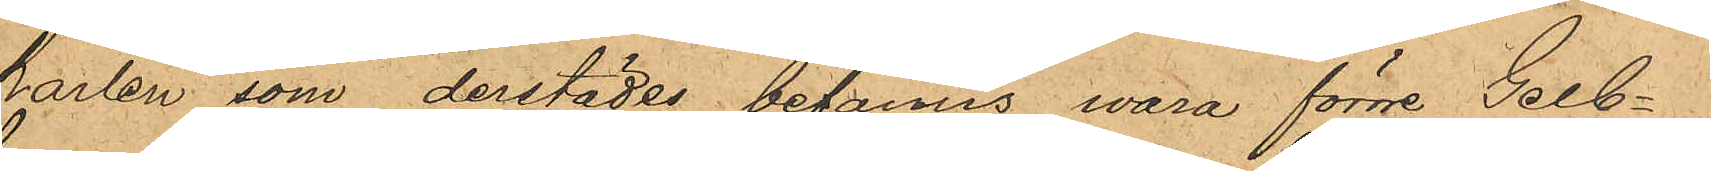Karlen som derstädes befanns wara förre Gelb¬
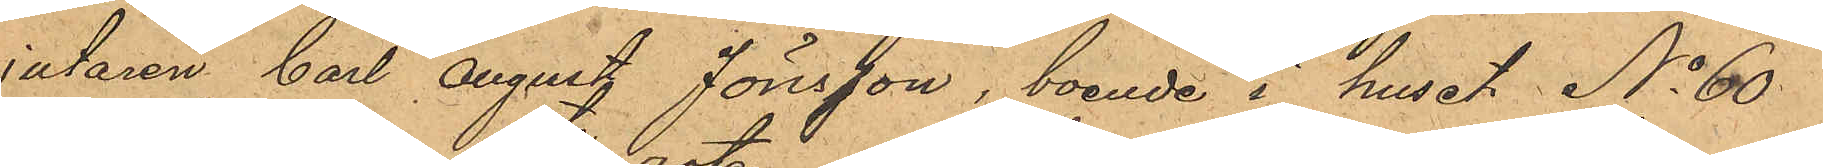gjutaren Carl August Jönsson, boende i huset No 60
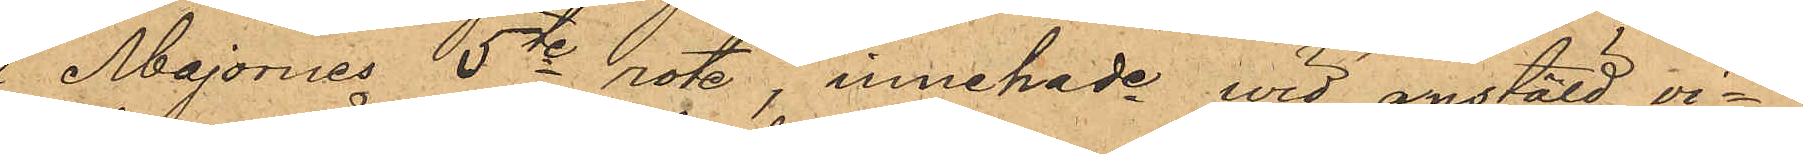af Majornes 5te rote innehade wid anstäld vi¬
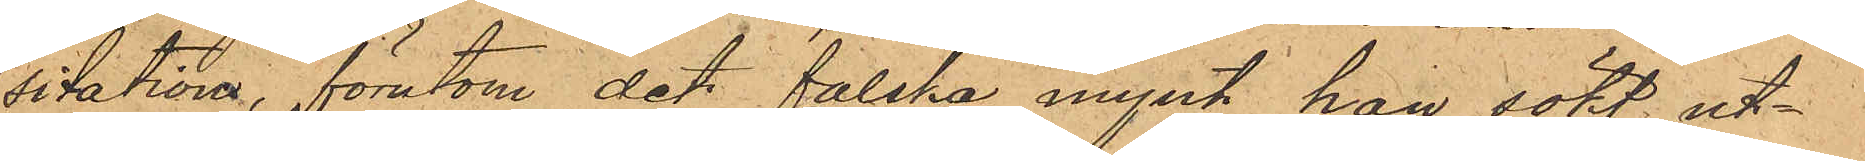sitation, förutom det falska mynt han sökt ut¬
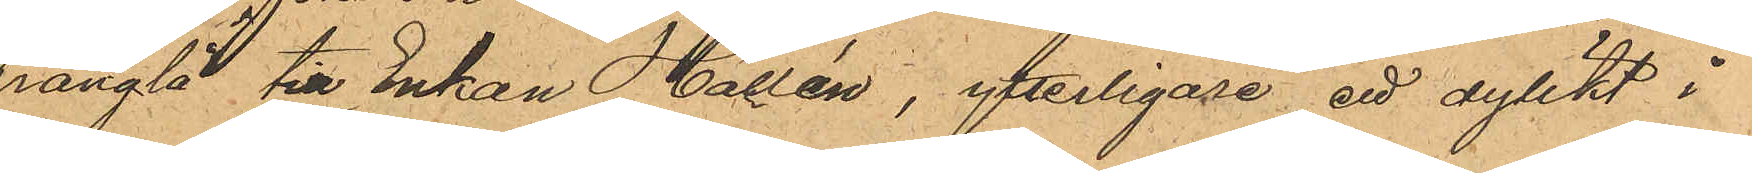prångla till Enkan Hallén, ytterligare ett dylikt i
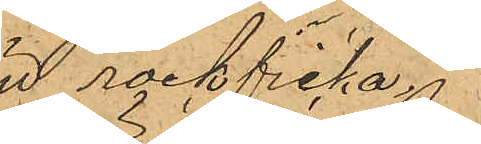sin rockficka.
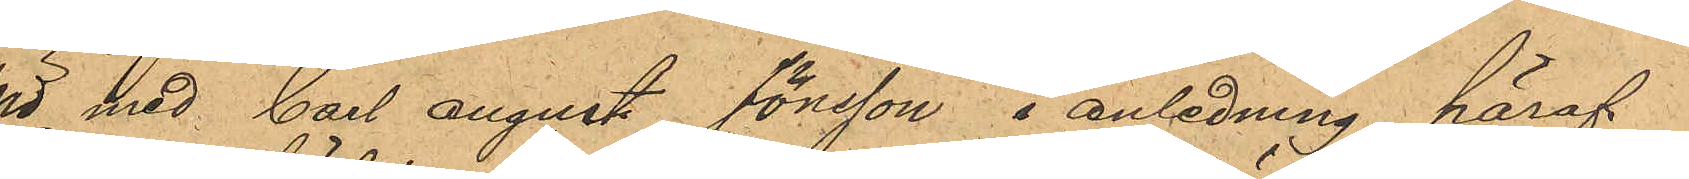Wid med Carl August Jönsson i anledning häraf
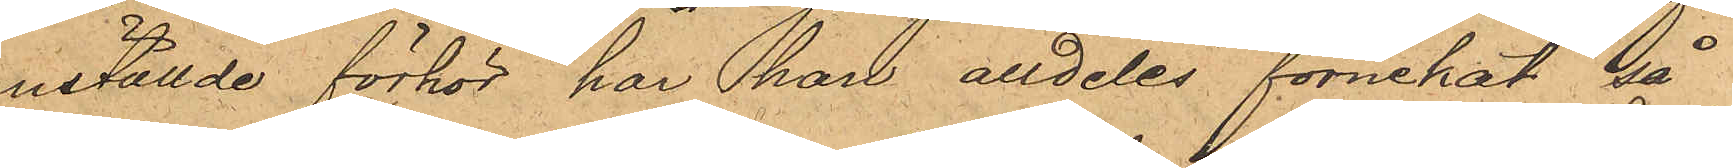anställde förhör har han alldeles förnekat så¬
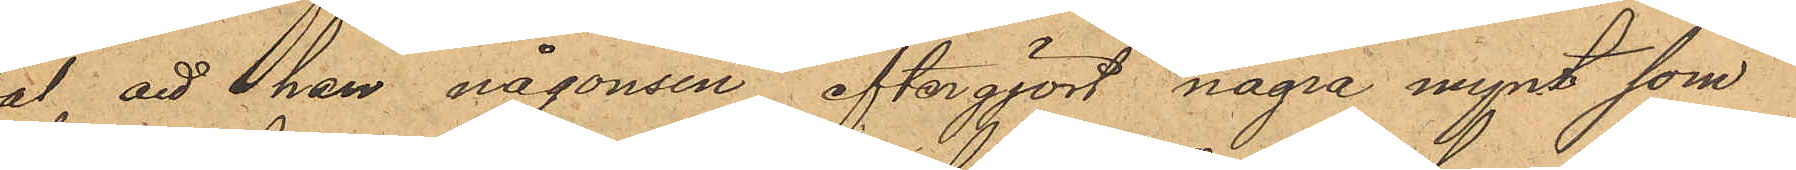wäl att han någonsin eftergjort några mynt som
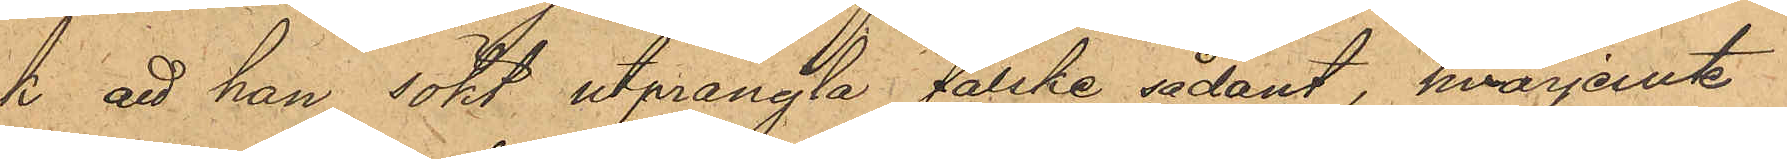ock att han sökt utprångla falske sådant, hvarjemte
